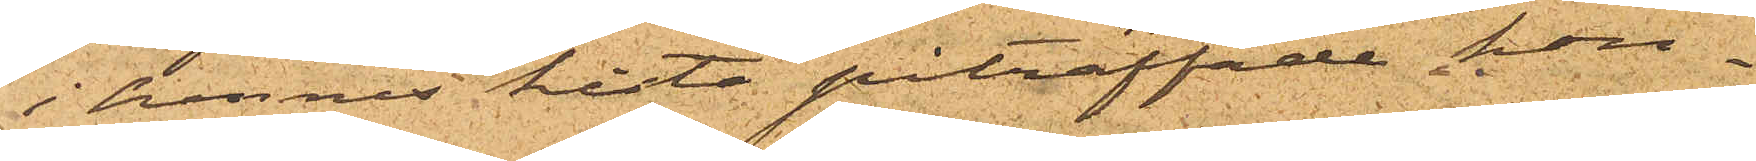i hennes kista påträffade kon¬
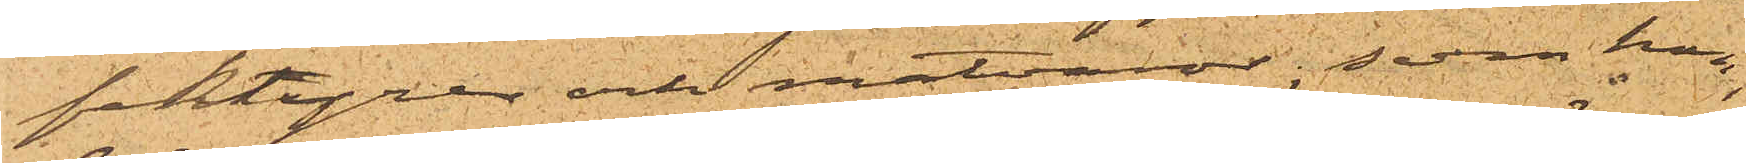fektyrer och matvaror, som hon,
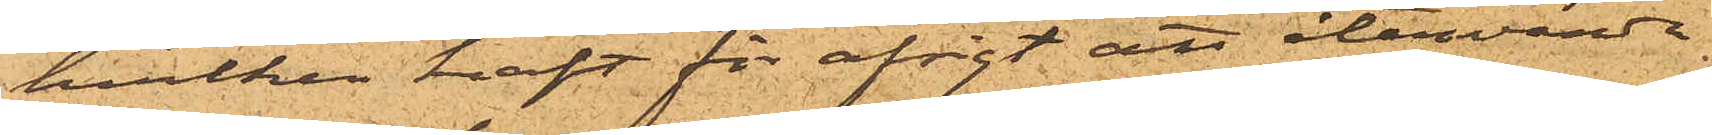hvilken haft för afsigt att återvända
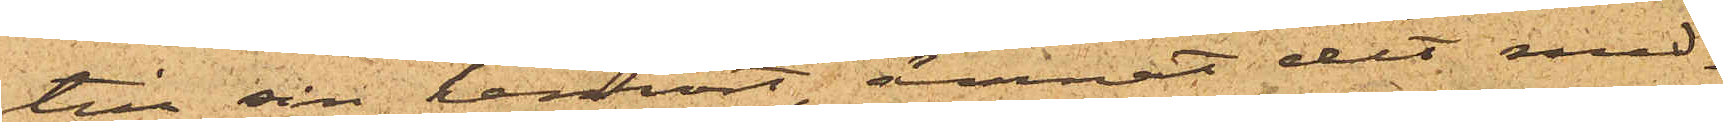till sin hemort, ämnat dit med¬
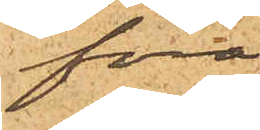föra;
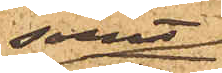samt
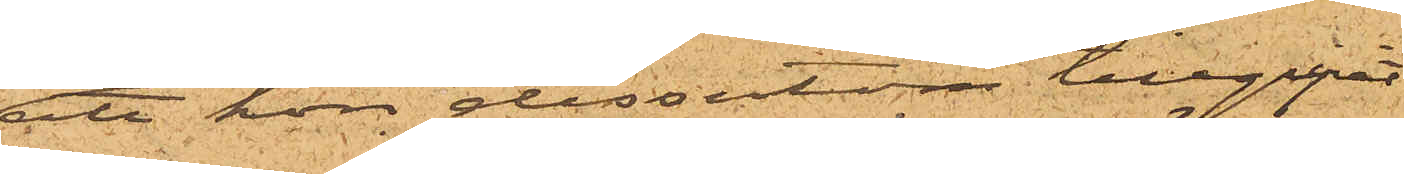att hon dessutom tillgripit
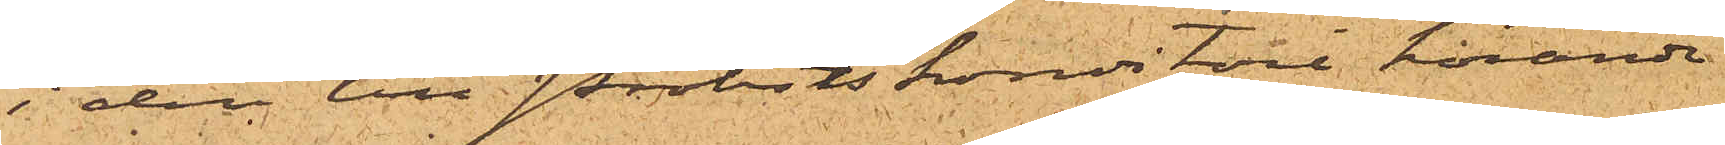i den till Probsts konditori hörande
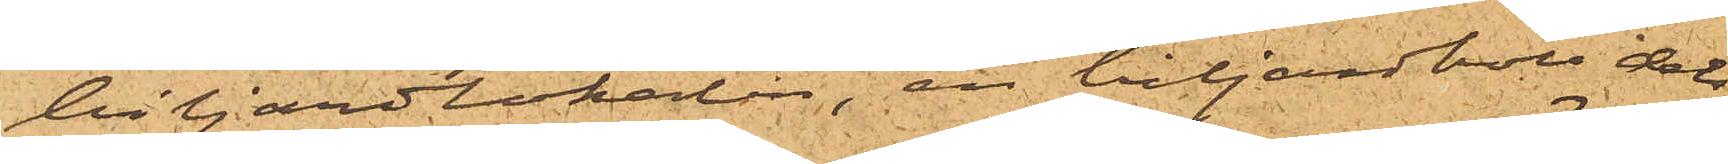biljardlokalen, en biljardboll dels
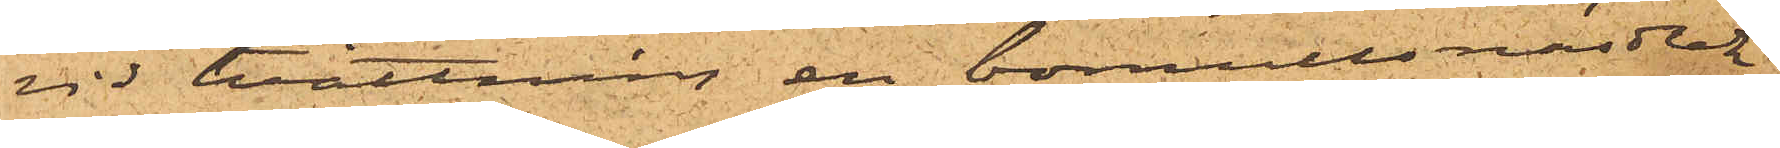vid tvättning en bomullsnäsduk,
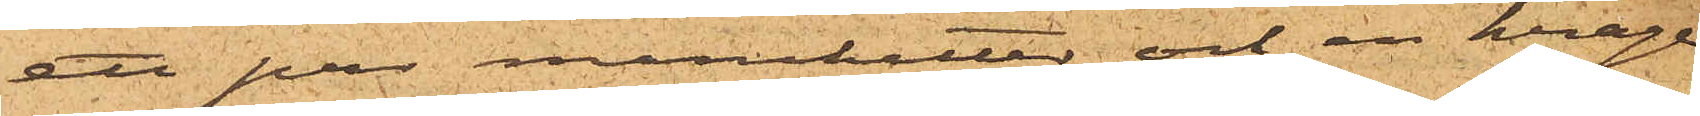ett par manschetter och en krage
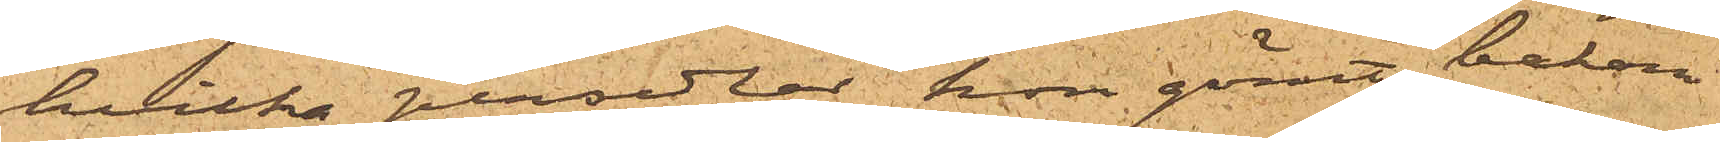hvilka persedlar hon gömt bakom
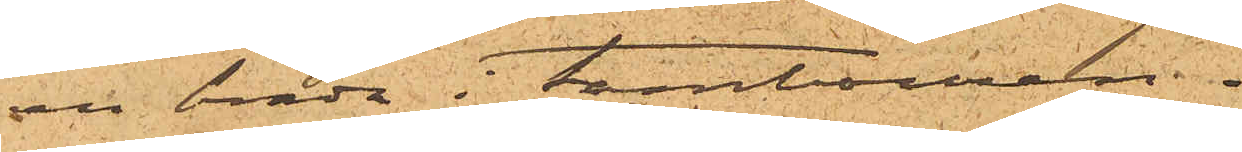en bräda i tambouren.
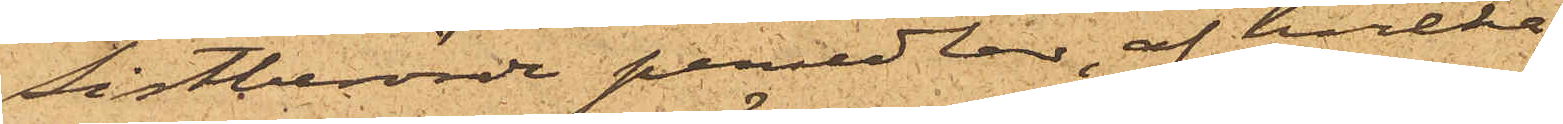Sistberörde persedlar, af hvilka
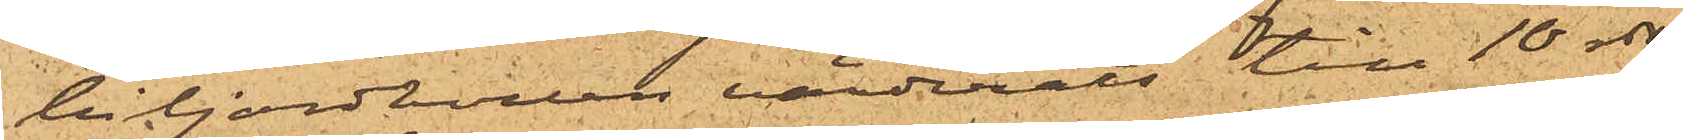biljardbollen värderats till 10 rdr
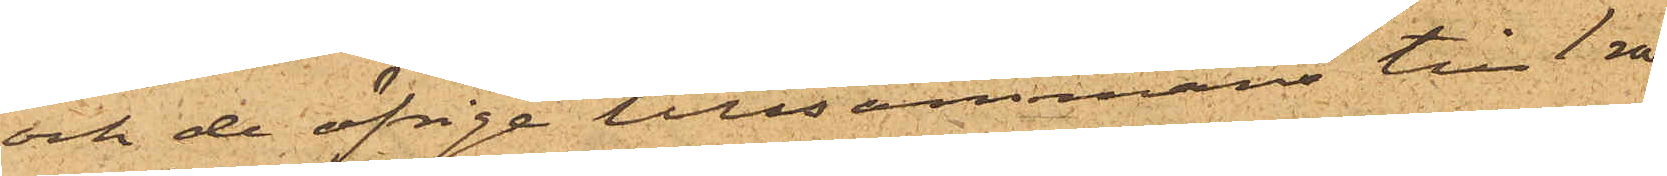och de öfrige tillsammans till 1 rdr
